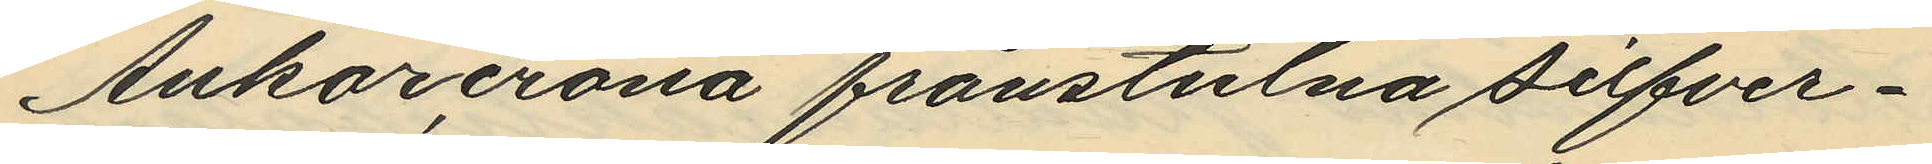Ankarcrona frånstulna silfver¬
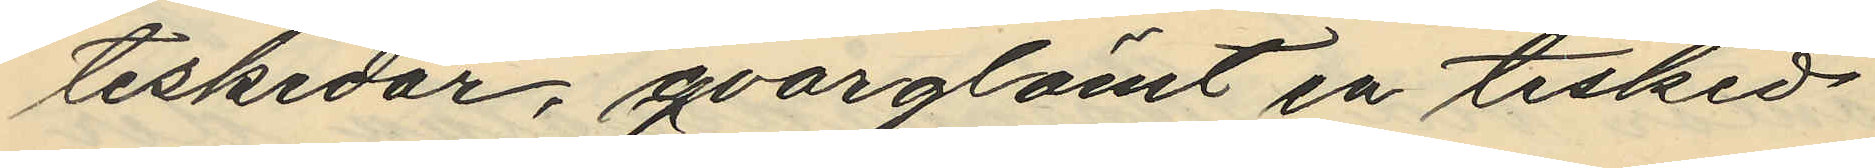teskedar; qvarglömt en tesked
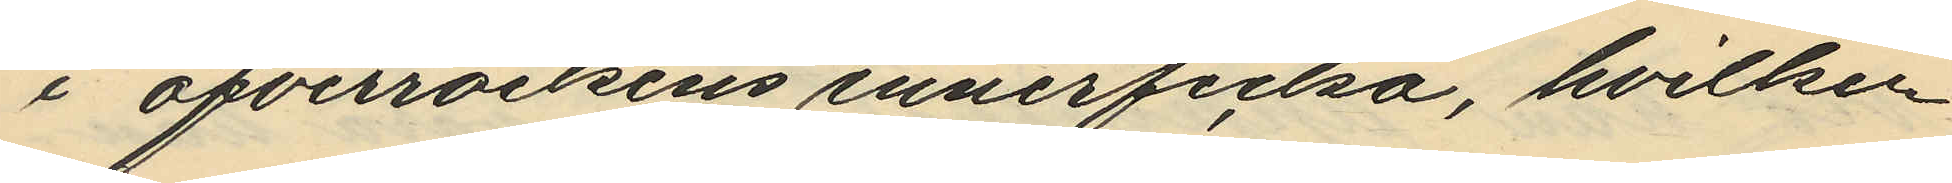i öfverrockens innerficka, hvilken
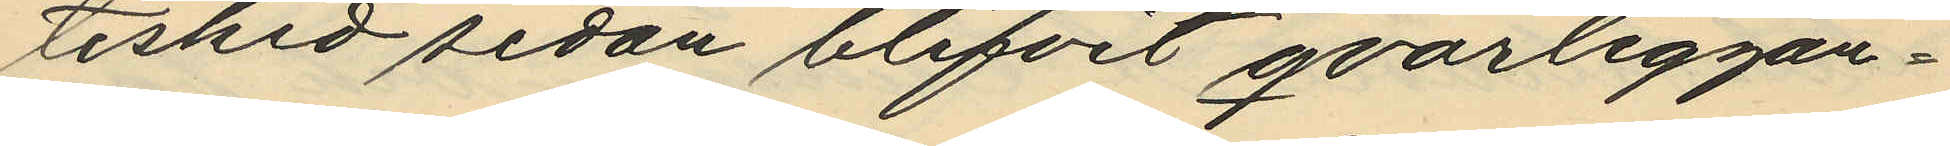tesked sedan blifvit qvarliggan¬
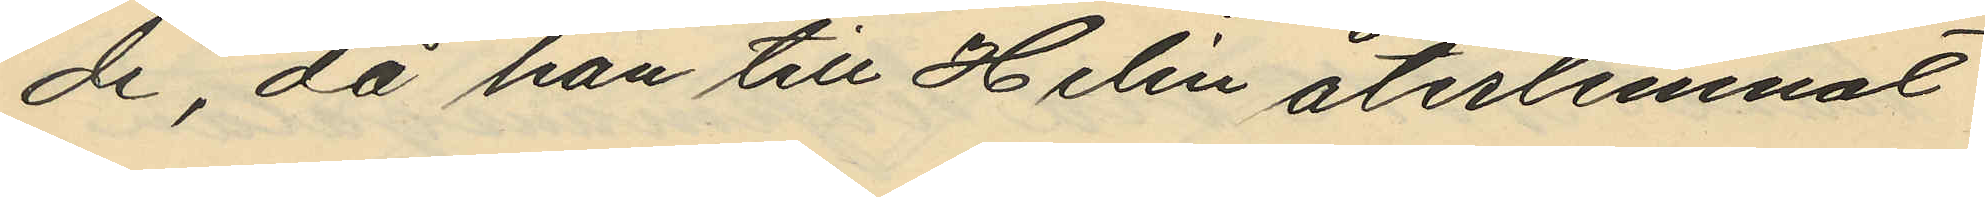de, då han till Helin återlemnat
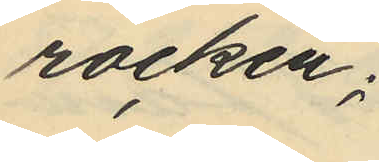rocken;
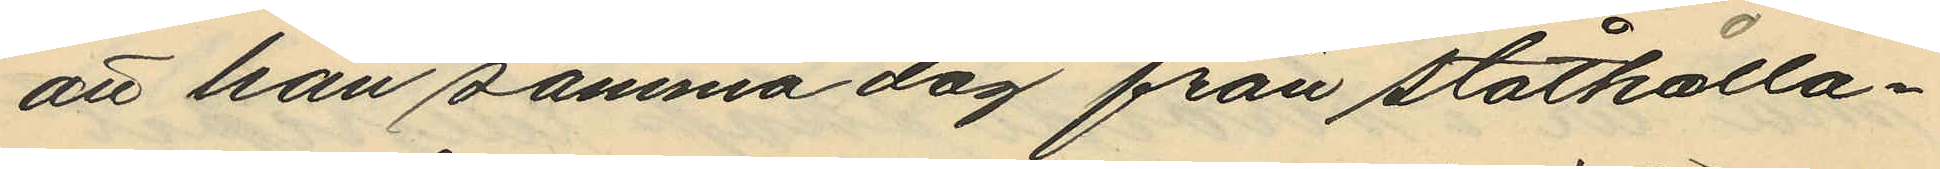att han samma dag från ståthålla¬
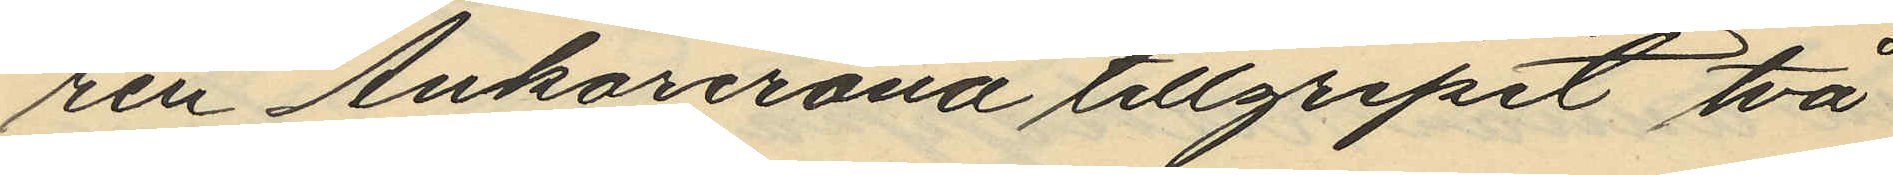ren Ankarcrona tillgripit två
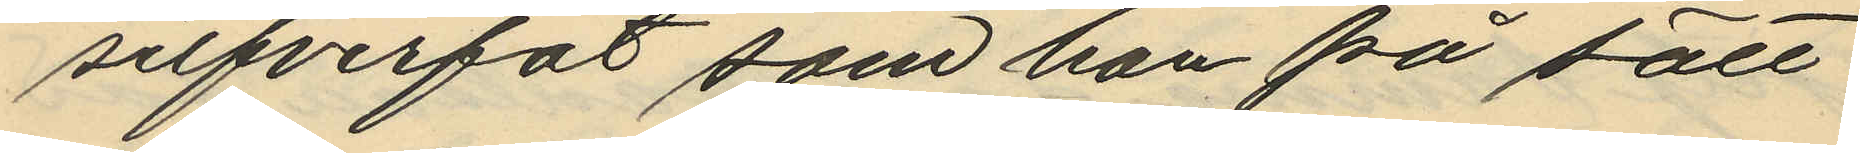silfverfat som han på sätt
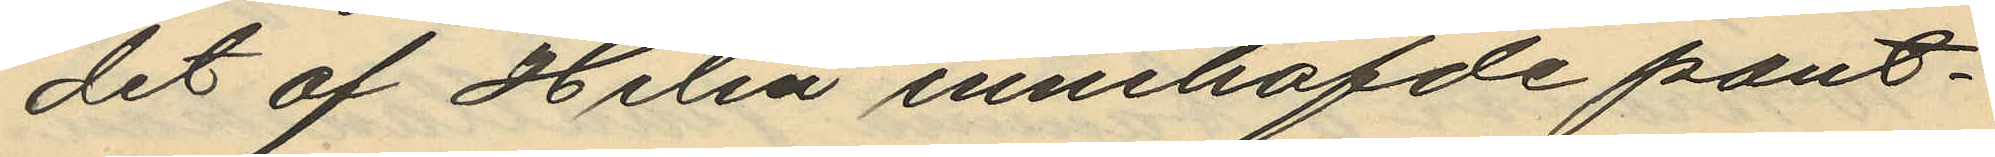det af Helin innehafde pant¬
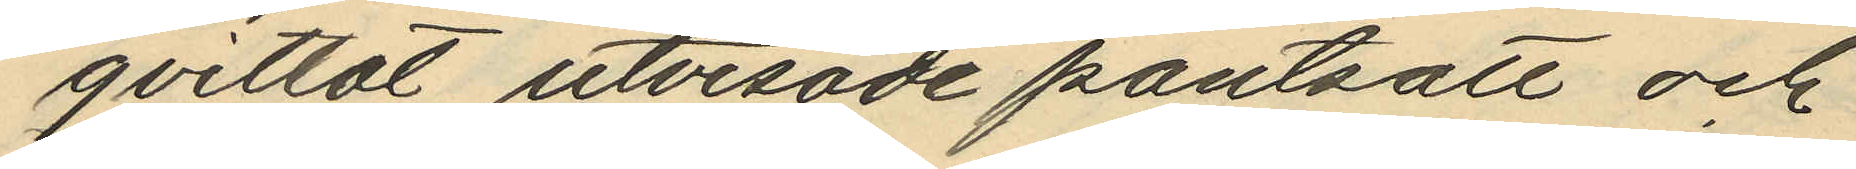qvittot utvisade pantsatt och
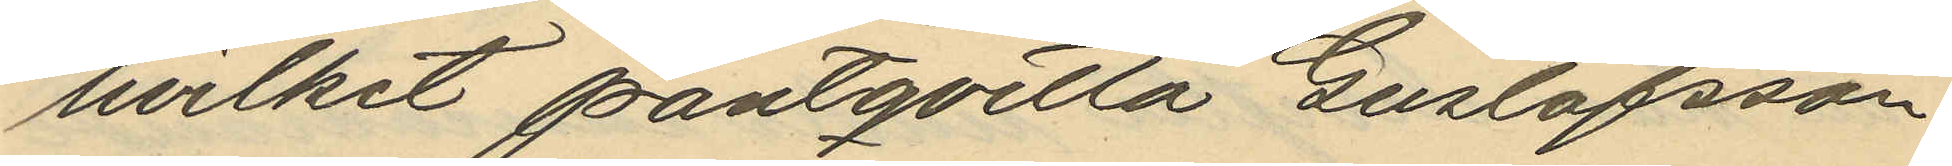hvilket pantqvitto Gustafsson
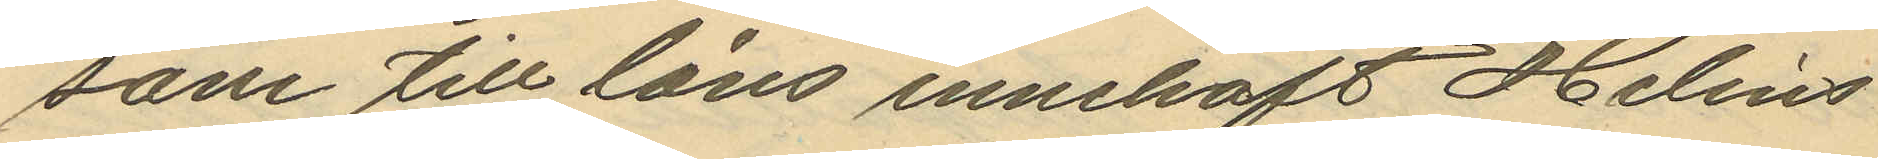som till låns innehaft Helins
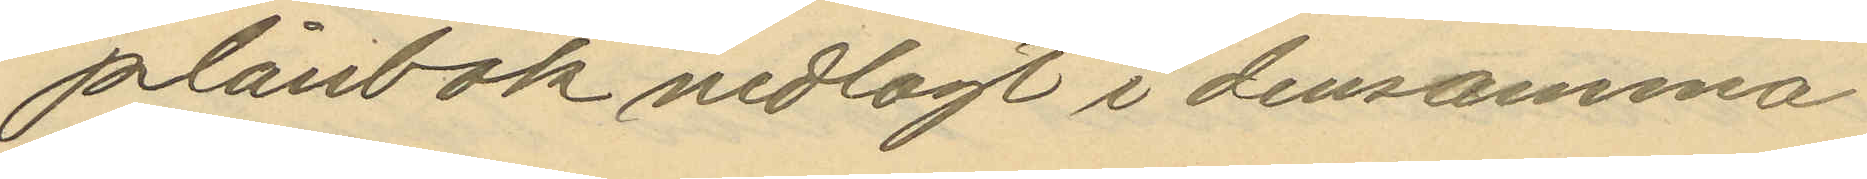plånbok nedlagt i densamma
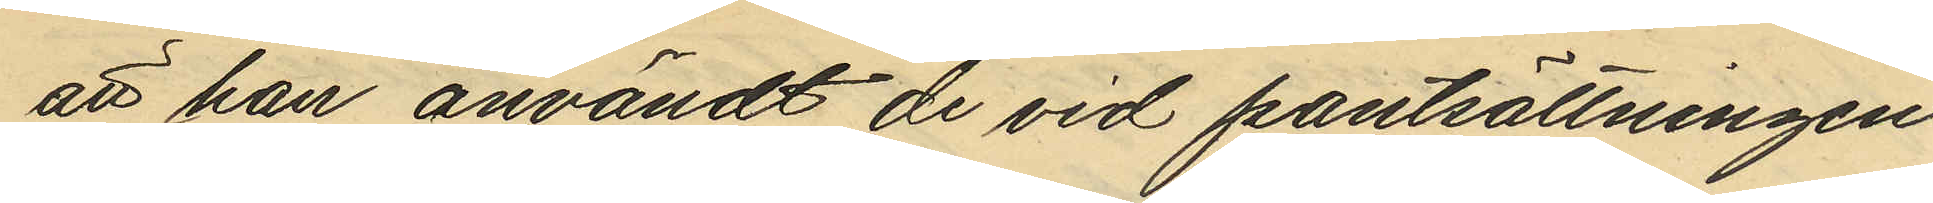att han användt de vid pantsättningen
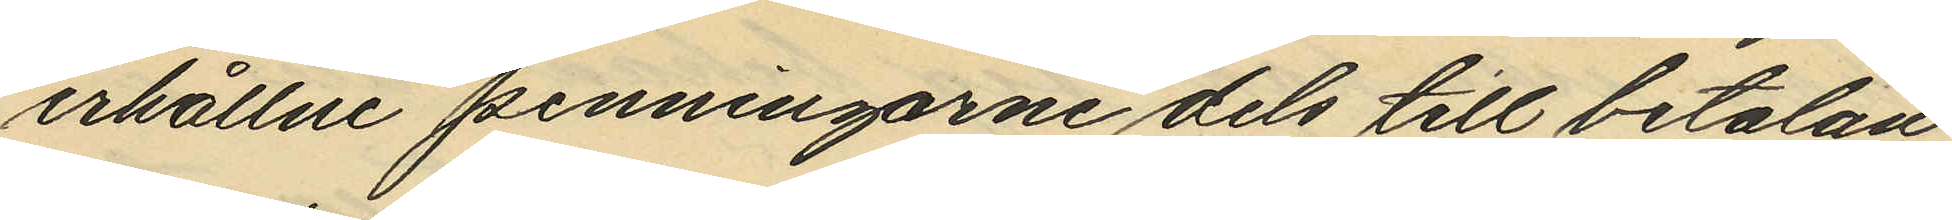erhållne penningarne dels till betalan¬
